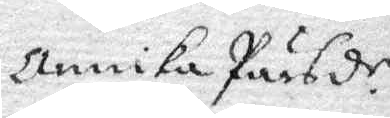Annika Pärsd.r
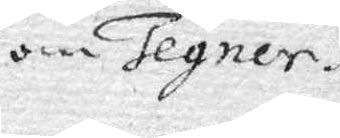om Tegner.
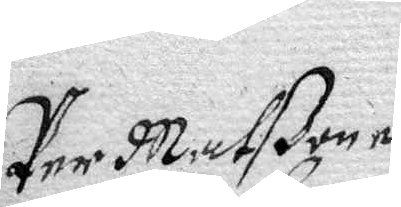Per Matßon e¬
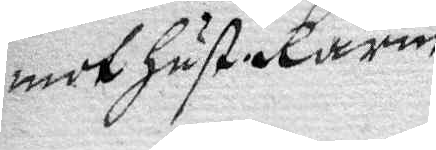mot Hust. Karin.
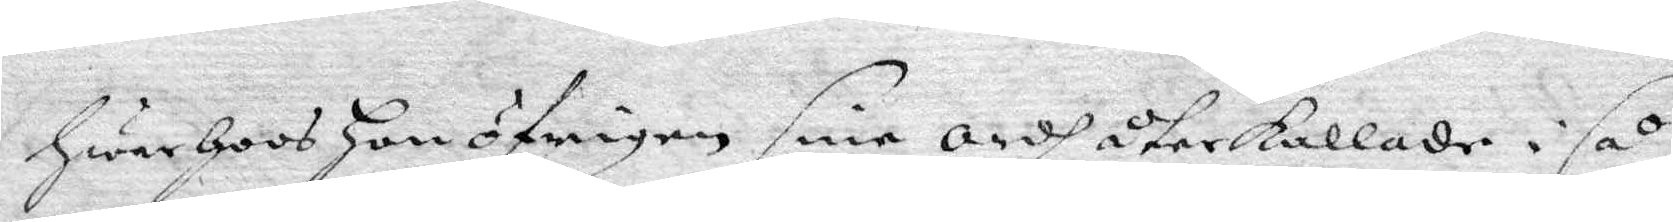HwarHoos Hon öfrigen sine ordh återkallade i så
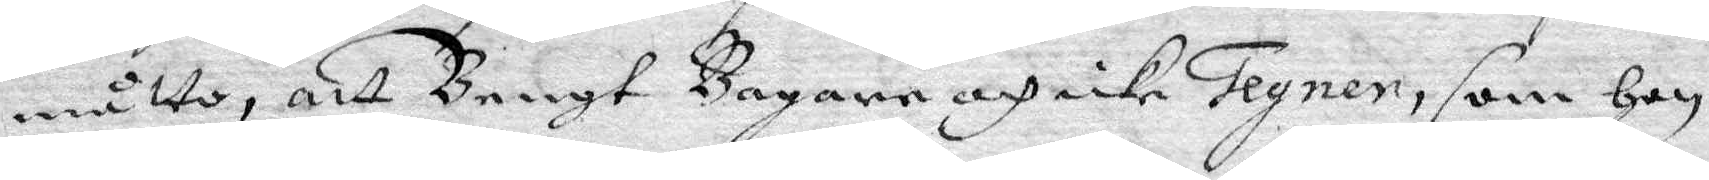måtto, att Bengt Bagare och icke Tegner, som Hon
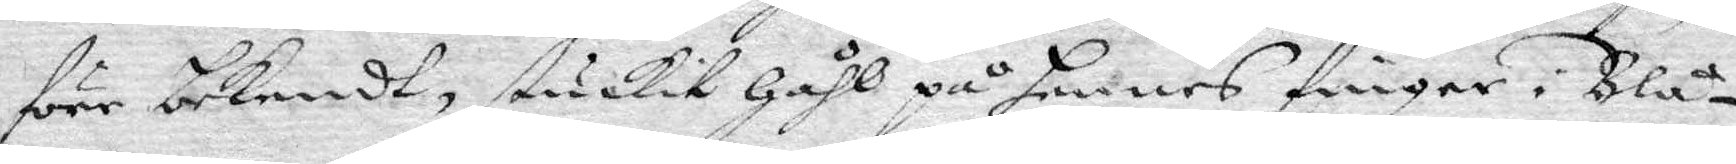förr bekendt, stuckit Håhl på hennes finger i Blå¬
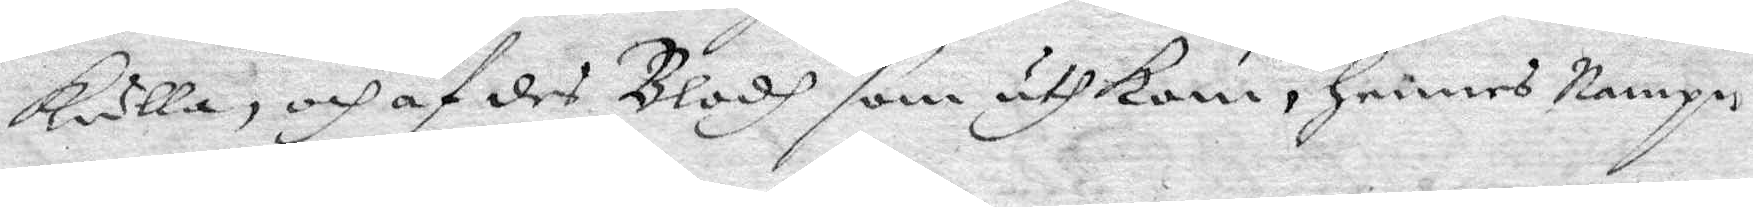kulla, och af des Blodh som uthkom, hennes Nampn
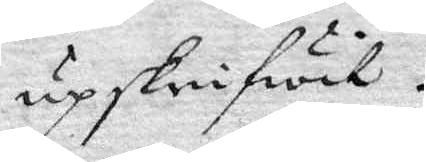upskrifwit.
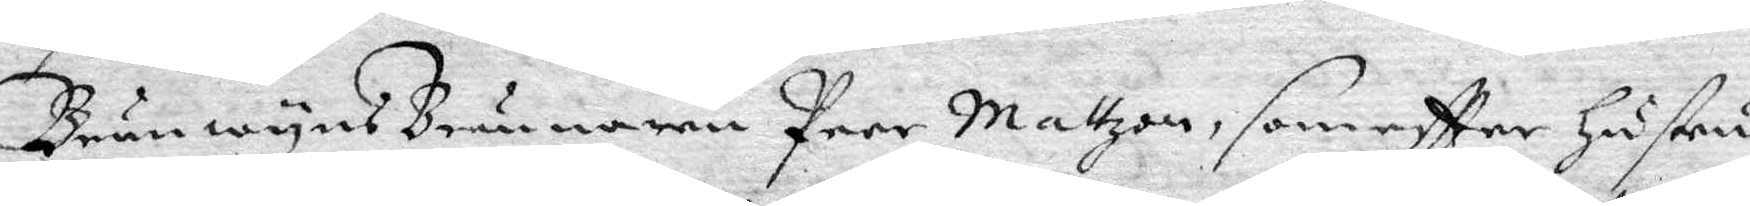BränwynsBrännaren Peer Mattzon, som eftter Hustru
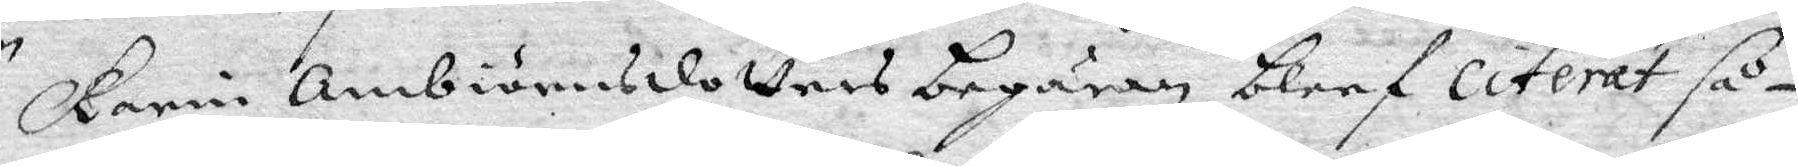Karin Ambiörnsdotters begäran bleef citerst så¬
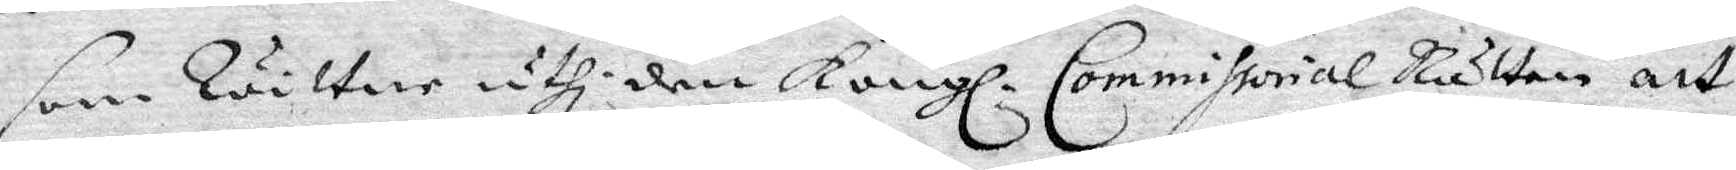som Rätten uthi den Kongl. Commissorial Rätten att
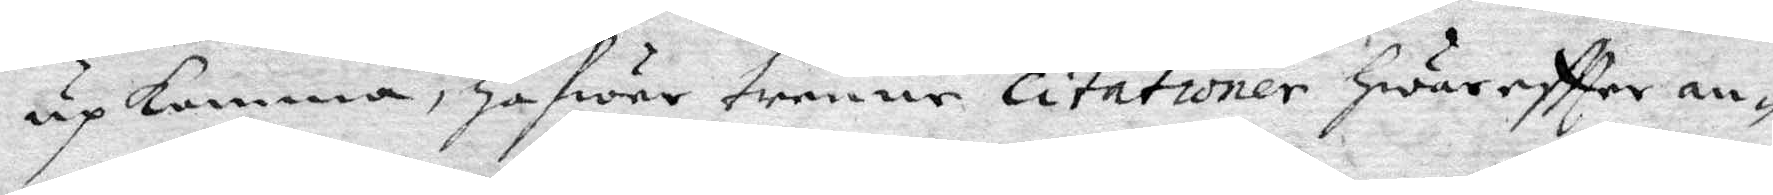upkomma, Hafwer trenne citationer Hwareftter an¬
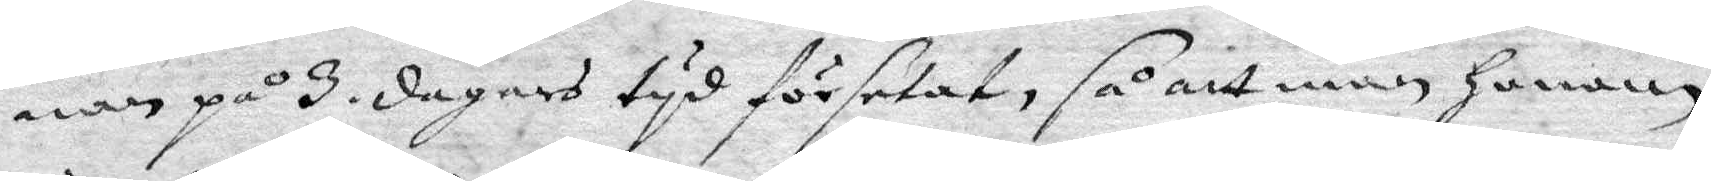nan på 3. dagars tyd förselat, så att man Honom
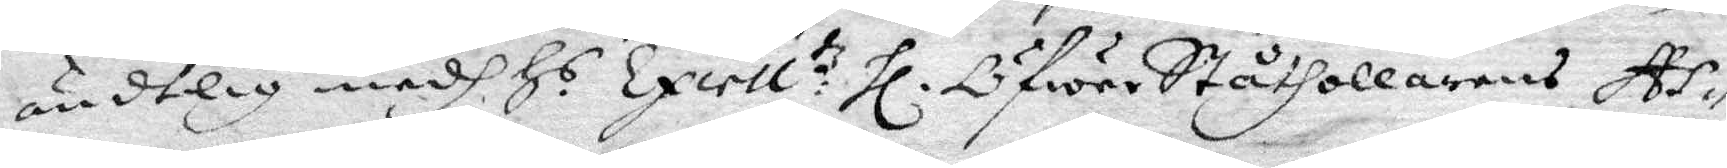ändtelig medh H.s Excell:tz Hl. ÖfwerStåthollarens As¬
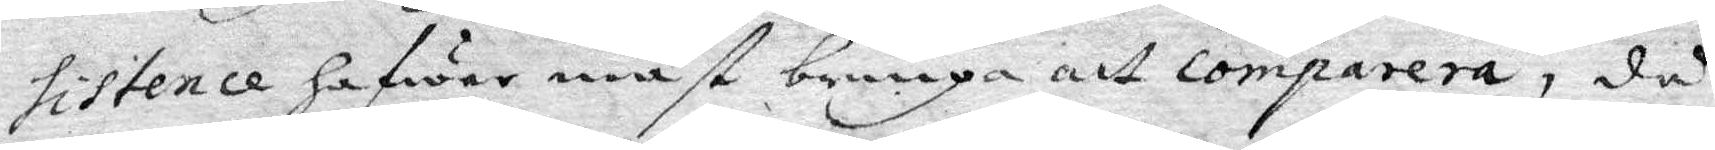sistence hafwer måst bringa att comparera, då
